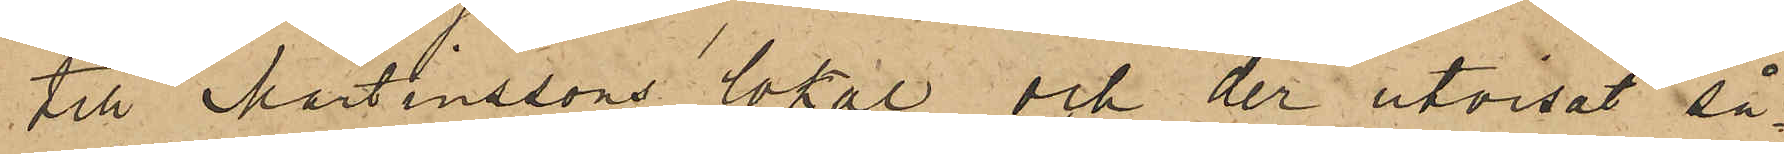till Martinssons lokal och der utvisat så¬
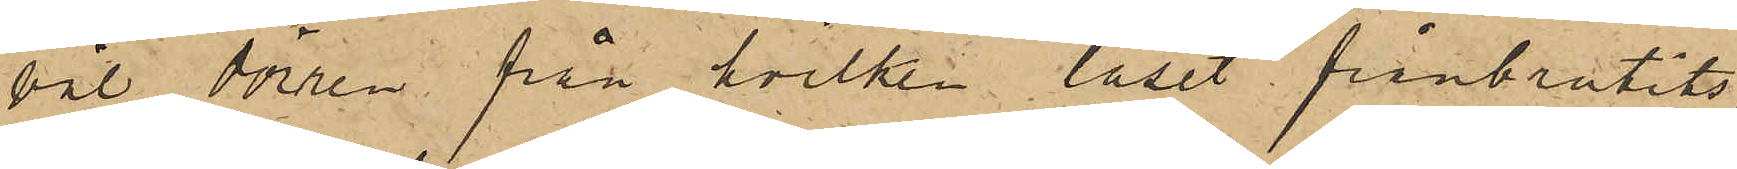väl dörren från hvilken låset frånbrutits,
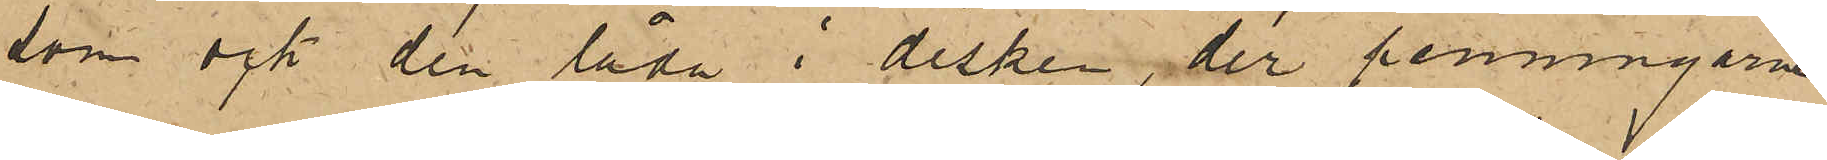som ock den låda i disken der penningarne
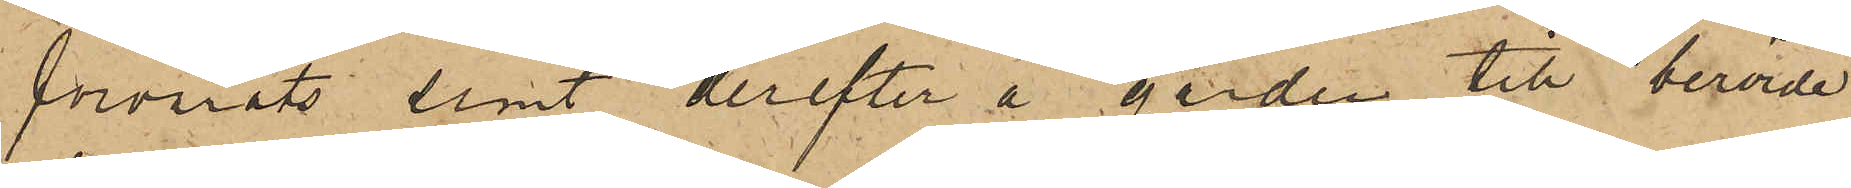förvarats samt derefter å gården till berörde
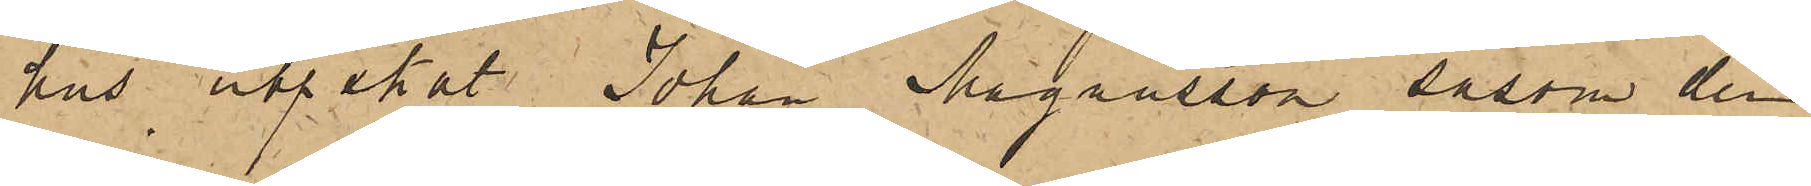hus utpekat Johan Magnusson såsom den
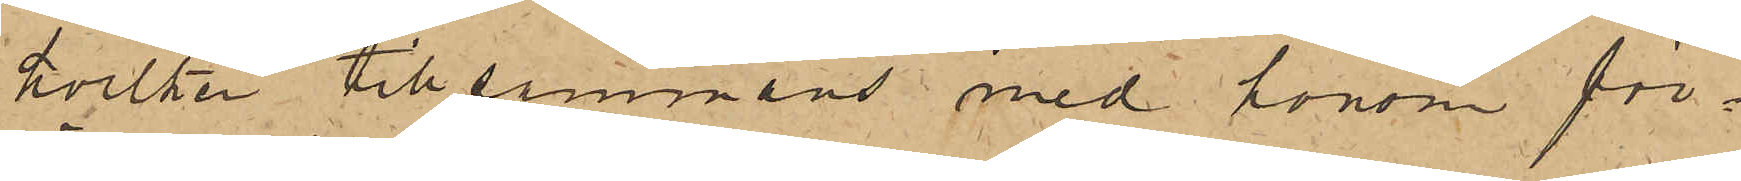hvilken tillsammans med honom för¬
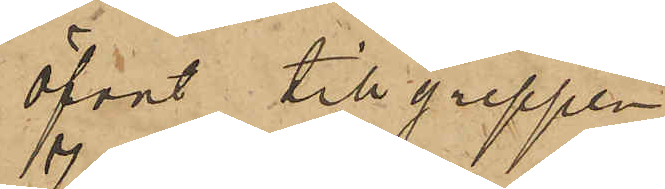öfvat tillgreppen.
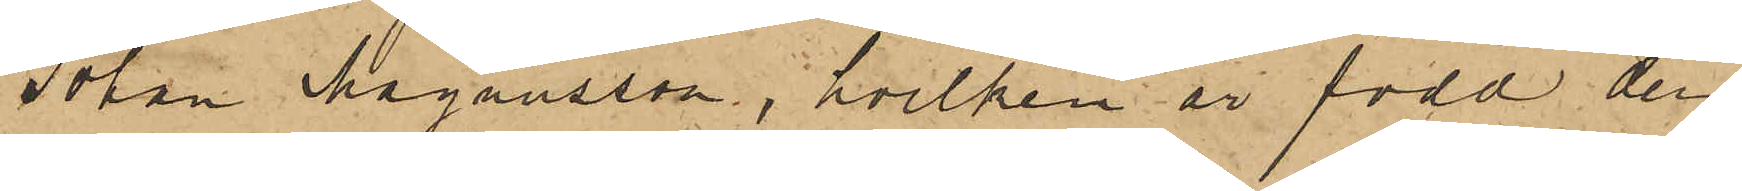Johan Magnusson, hvilken är född den
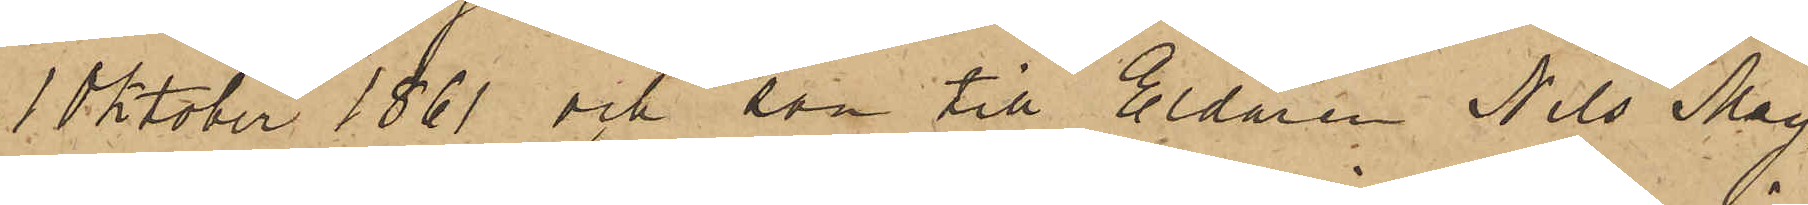1 Oktober 1861 och son till Eldaren Nils Mag¬
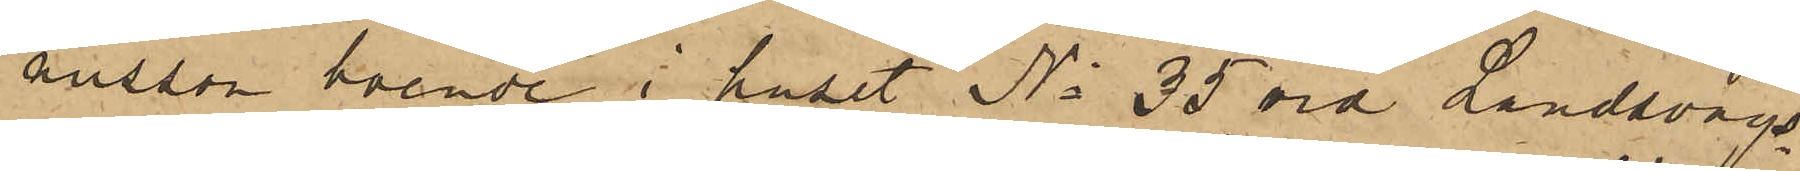nusson boende i huset No 35 vid Landsvägs
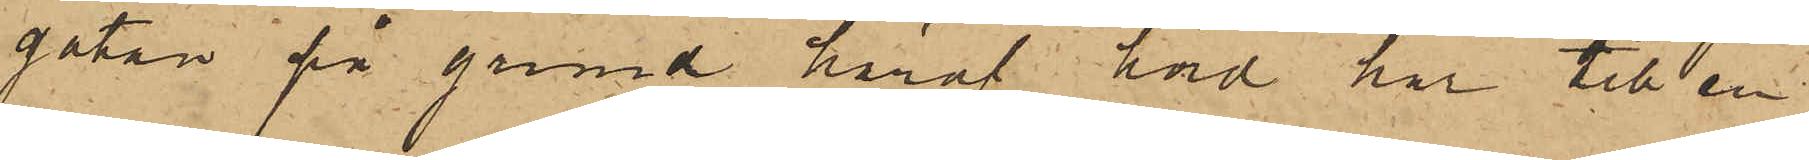gatan på grund häraf hörd har till en
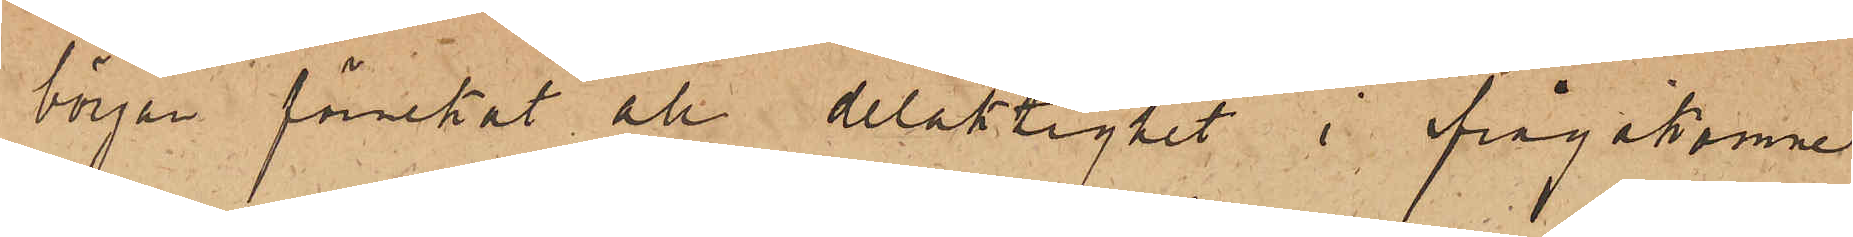början förnekat att delaktighet i ifrågakomne
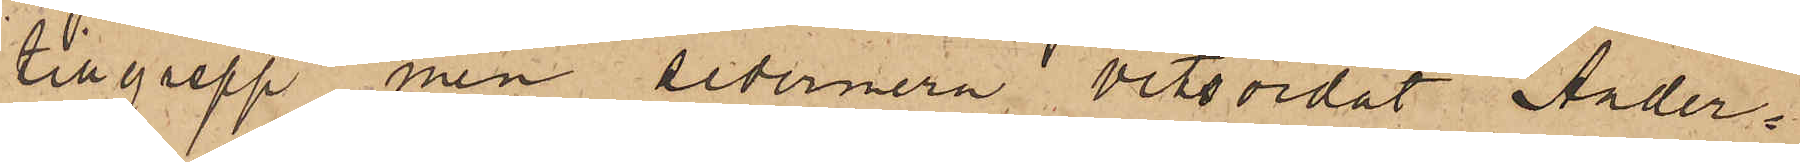tillgrepp men sedermera vitsordat Ander¬
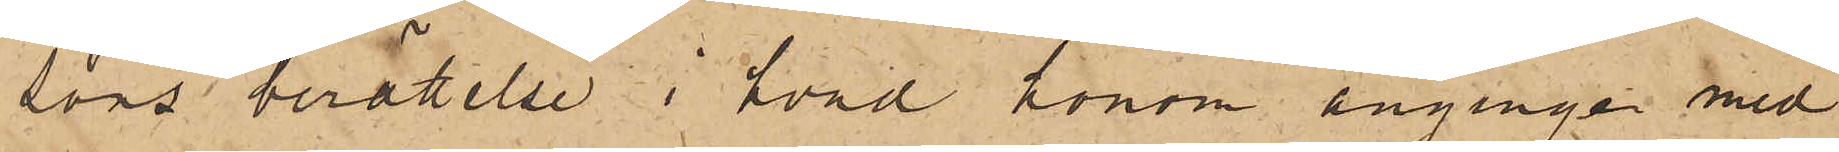sons berättelse i hvad honom anginge med
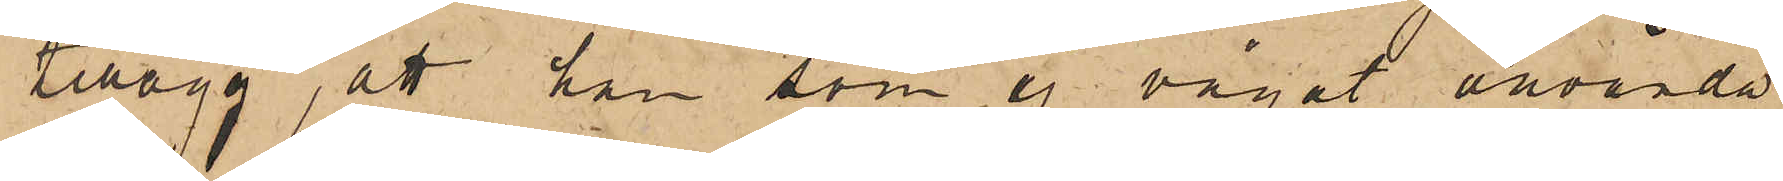tillägg, att han som ej vågat använda
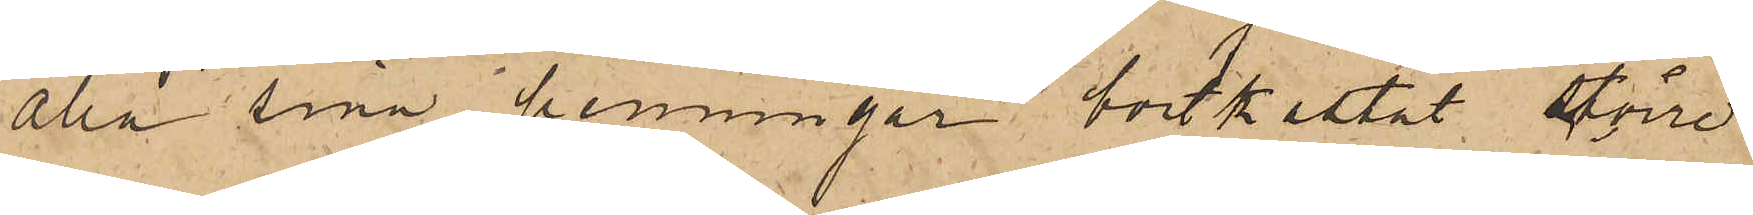alla sina penningar bortkastat större
